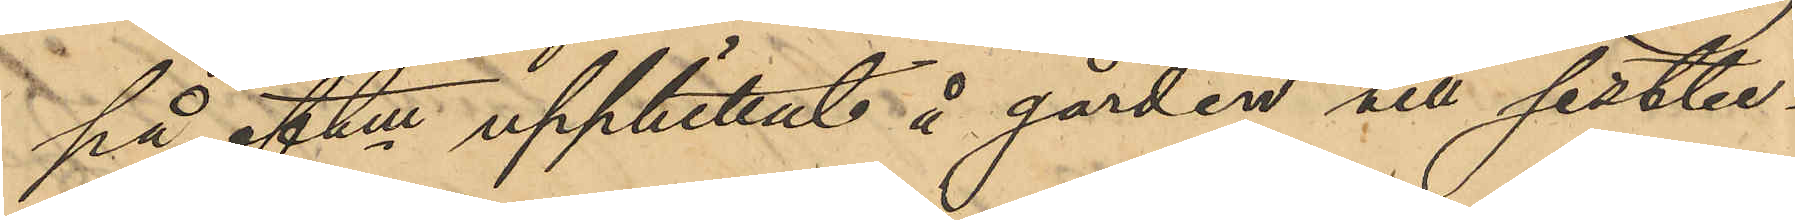på eftm upphittat å gården till sistbe¬
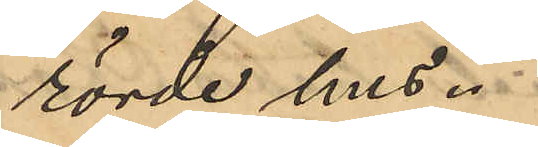rörde hus.
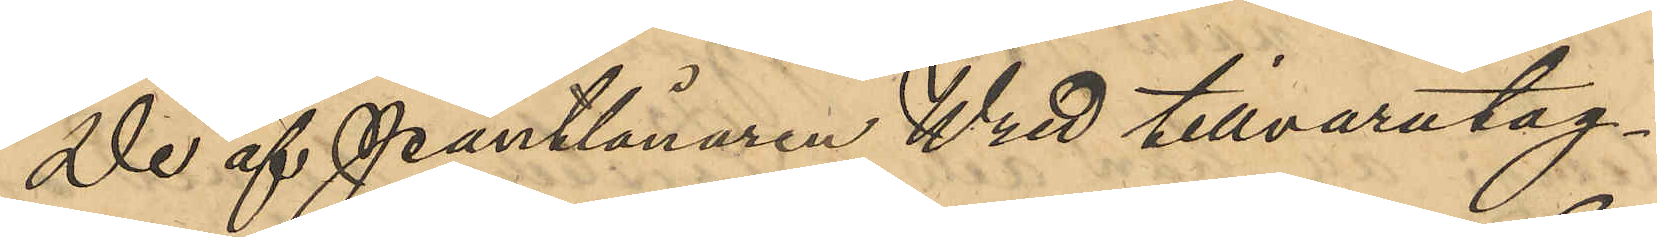De af Pantlånaren Wred tillvaratag¬
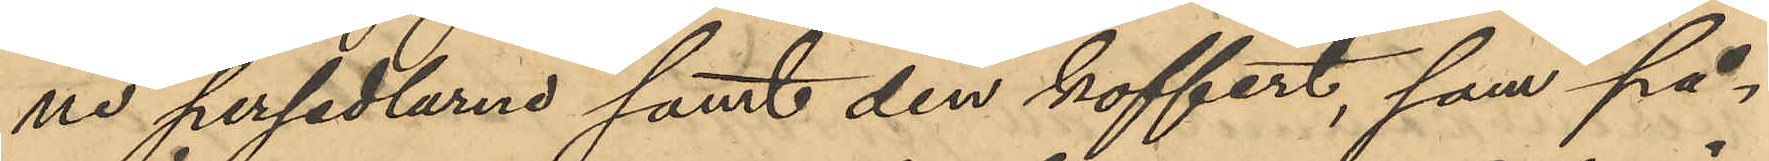ne persedlarne samt den koffert, som på¬
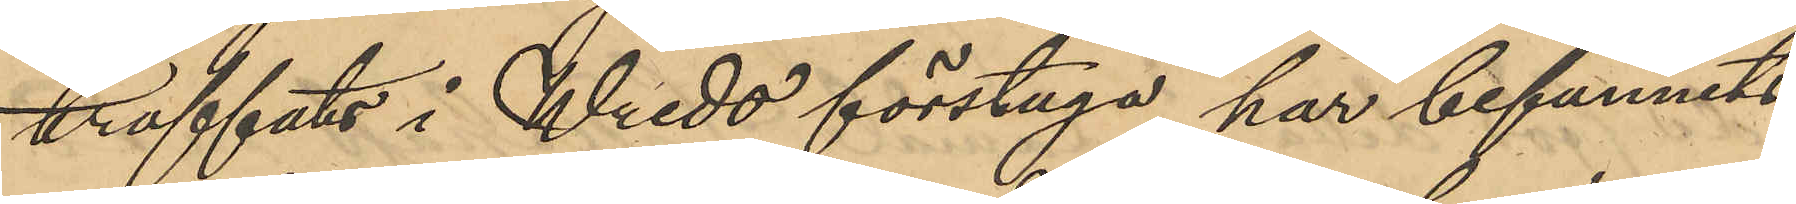träffats i Wreds förstuga har befunnits
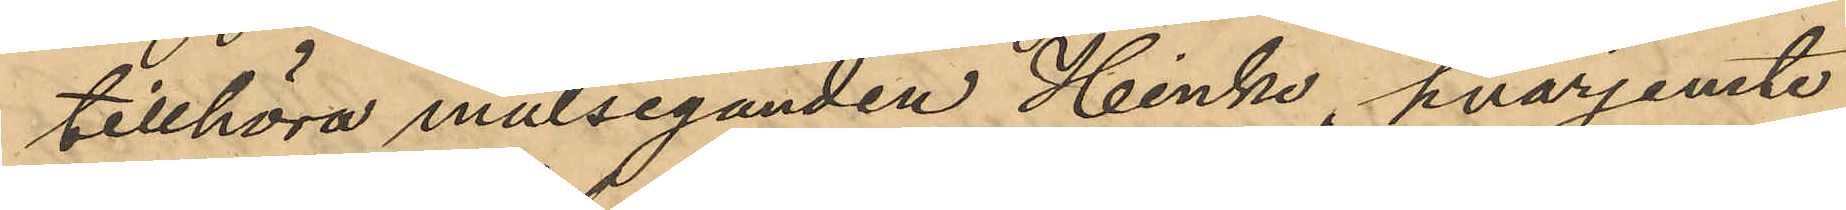tillhöra målseganden Hinke, hvarjemte
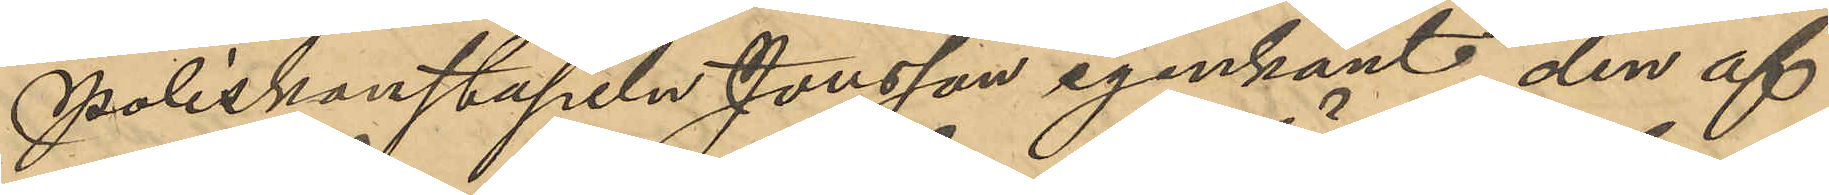Poliskonstapeln Jonsson igenkänt den af
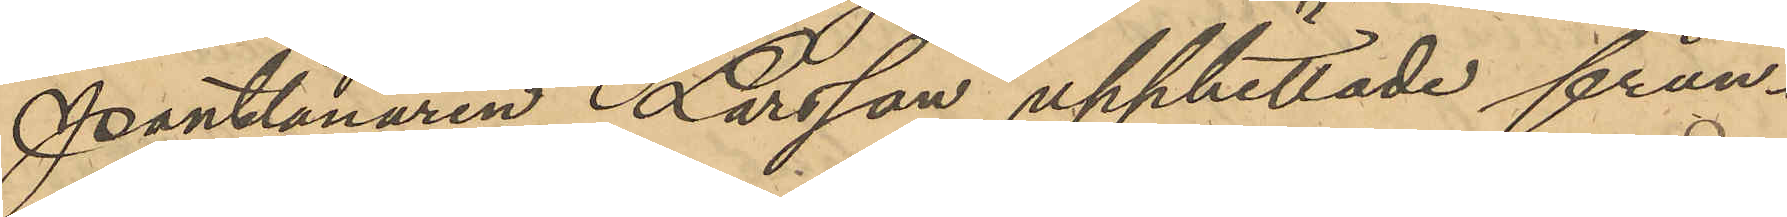Pantlånaren Larsson upphittade frun¬
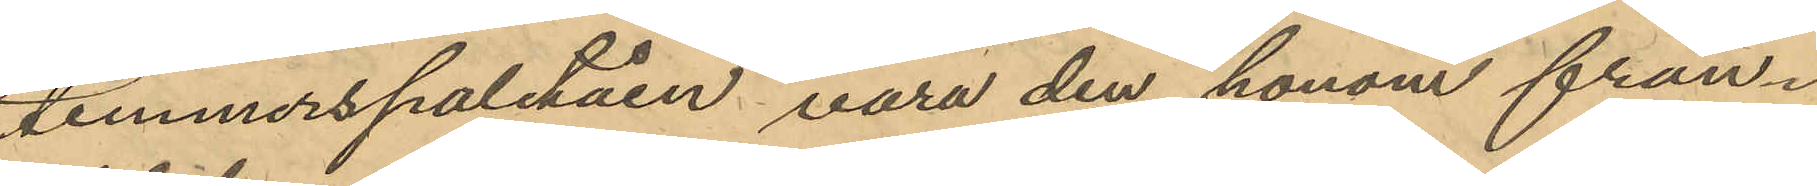timmerspaletåen vara den honom från¬
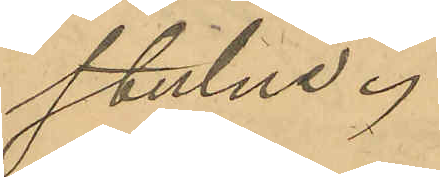stulne.
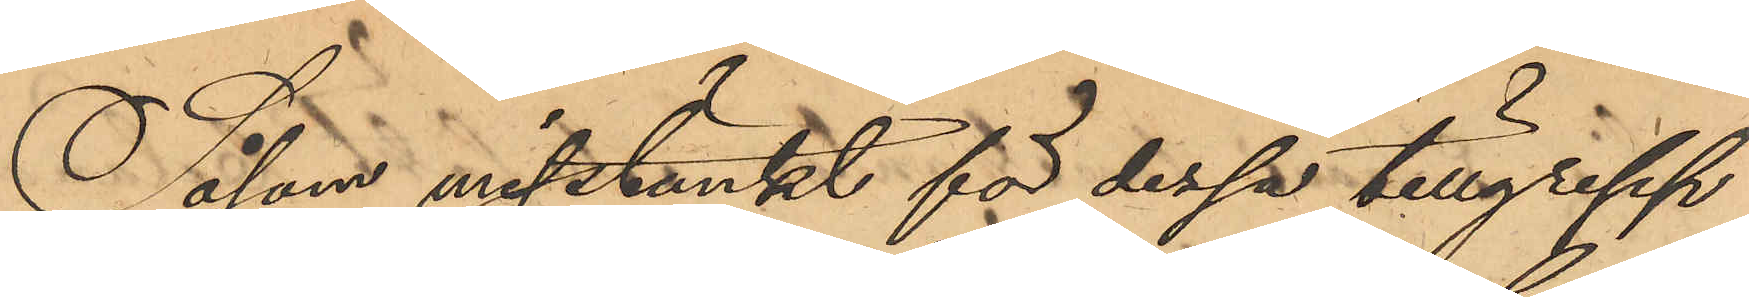Såsom misstänkt för dessa tillgrepp
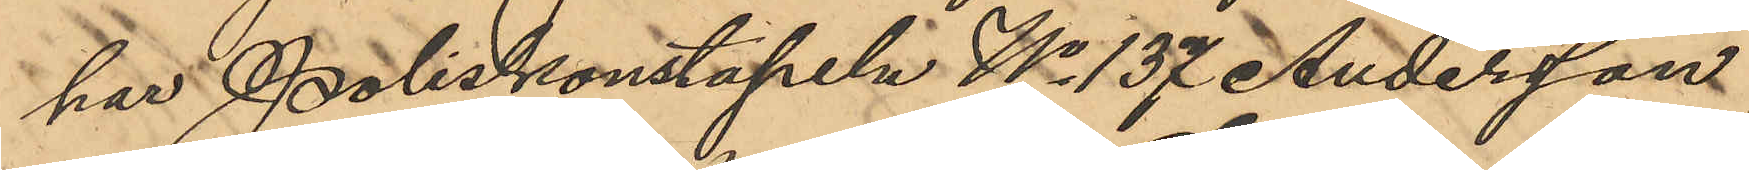har Poliskonstapeln No 137 Anderssson
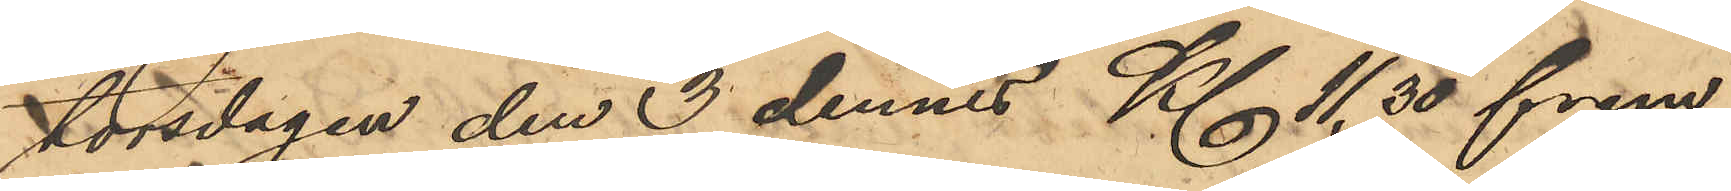torsdagen den 3 dennes Kl 11,30 frm
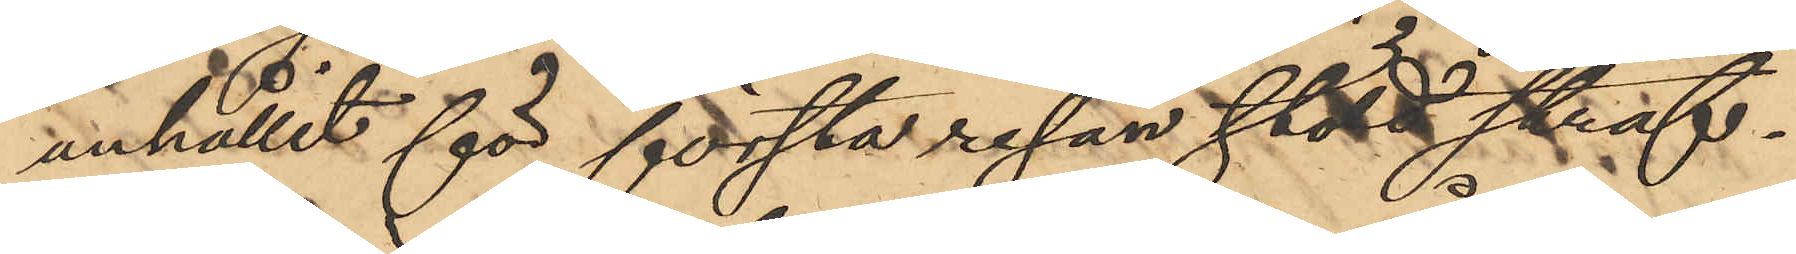anhållit för första resan stöld straf¬
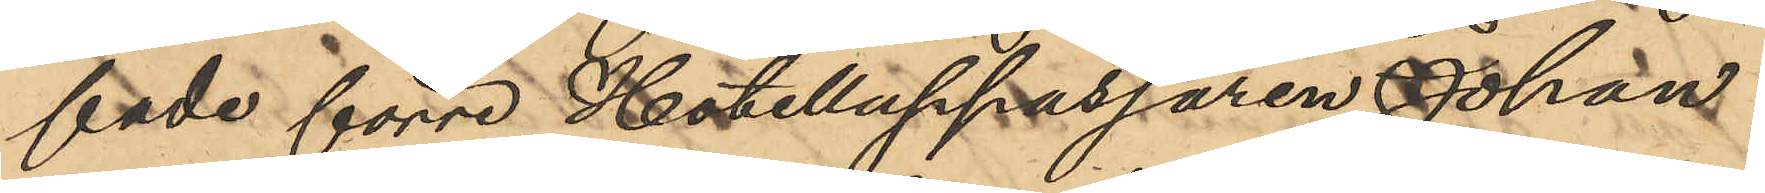fade förre Hotelluppassaren Johan
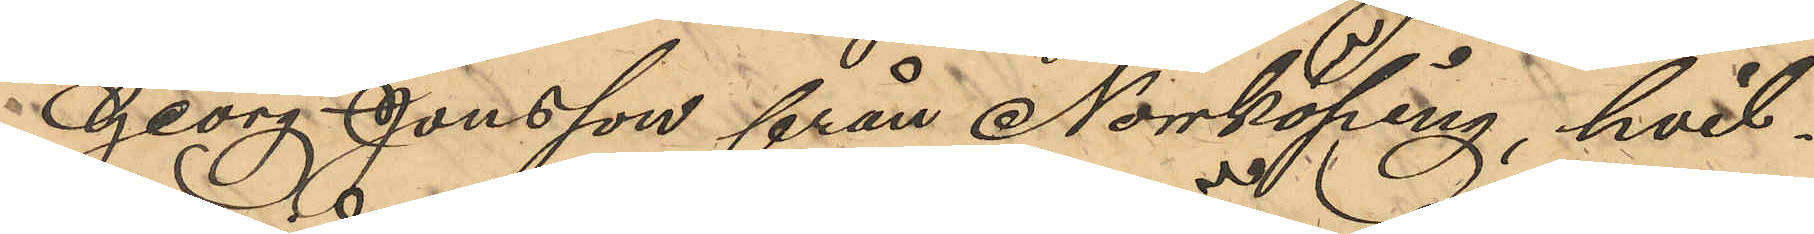Georg Jonsson från Norrköping, hvil¬
